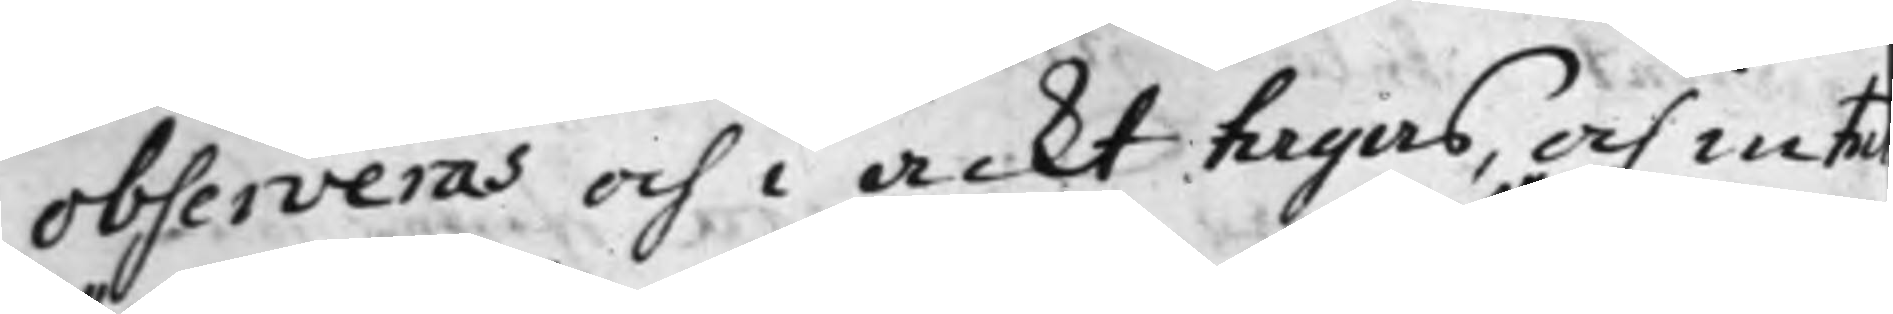observeras och i ackt tagas, och inte
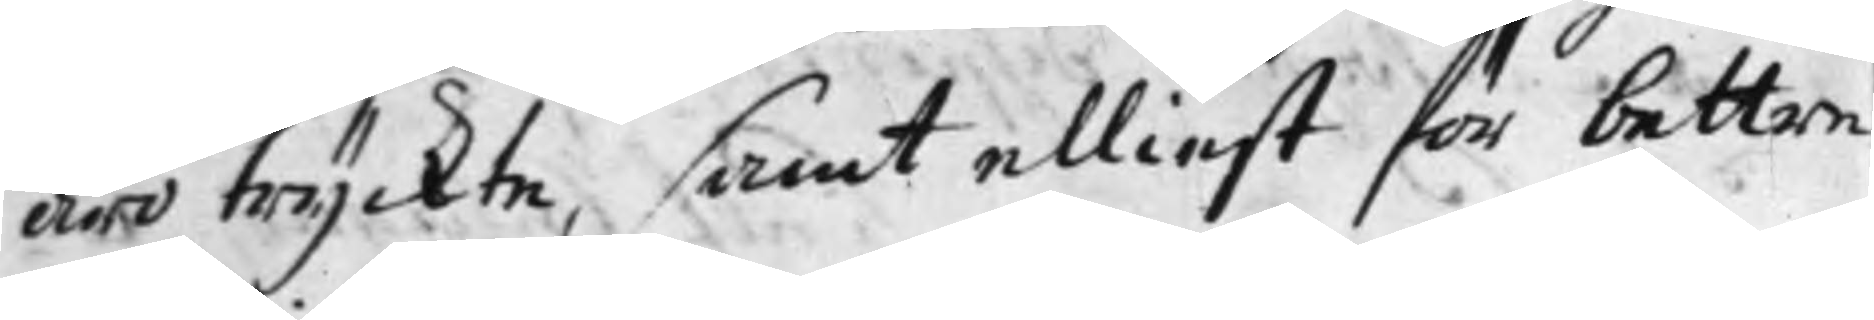äro tryckte, samt elliest för bettre
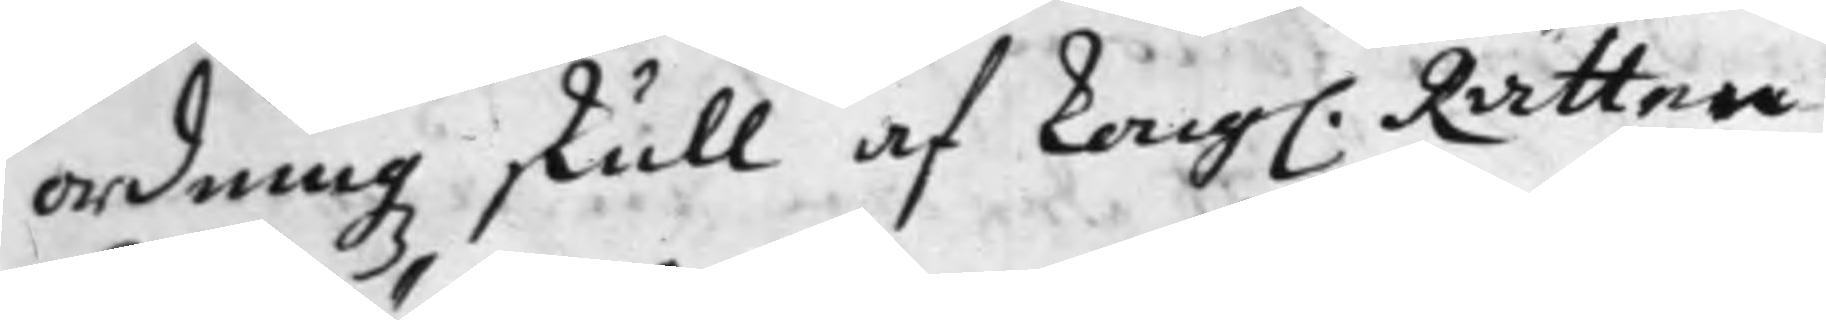ordningz skull af Kong. Rätten
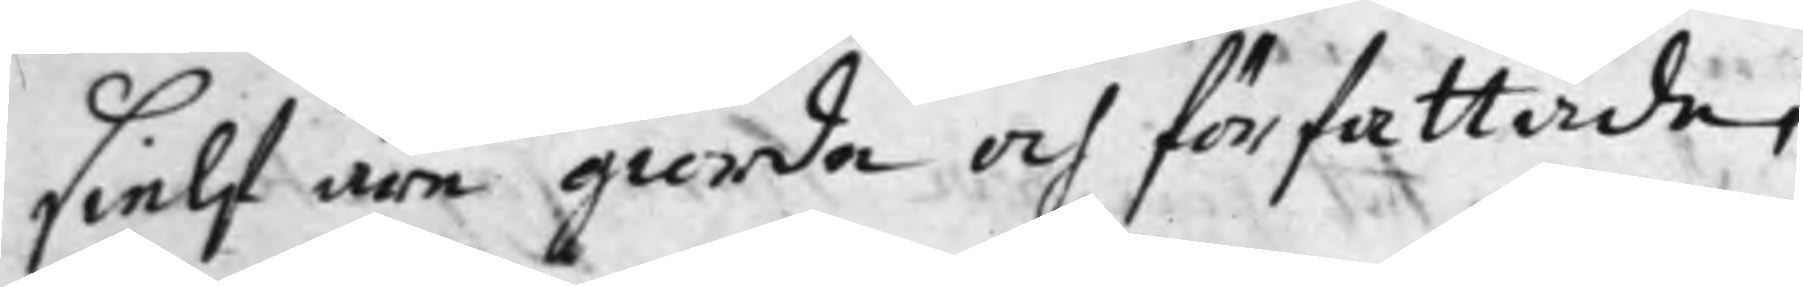sielf äre giorda och författade,
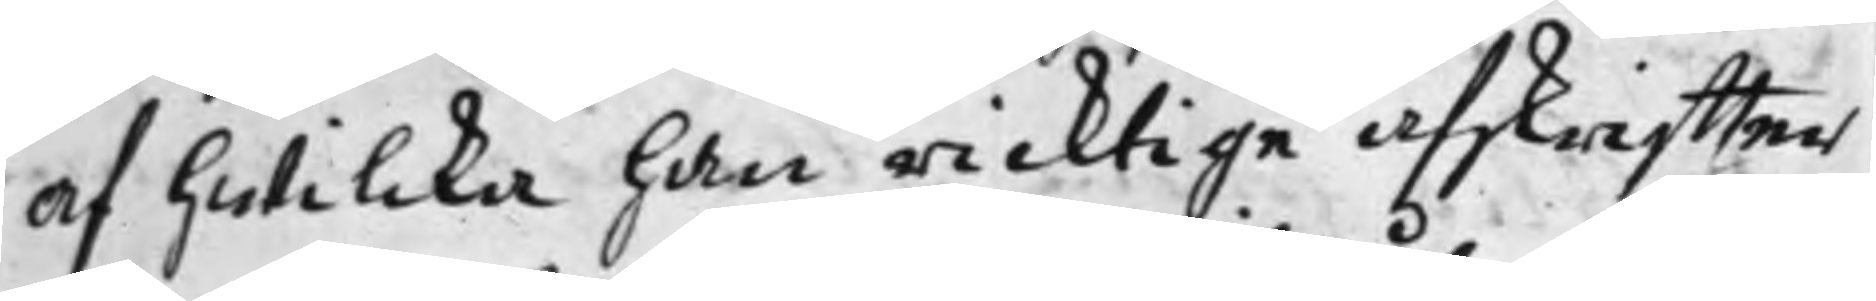af hwilcka han ricktige afskriffter
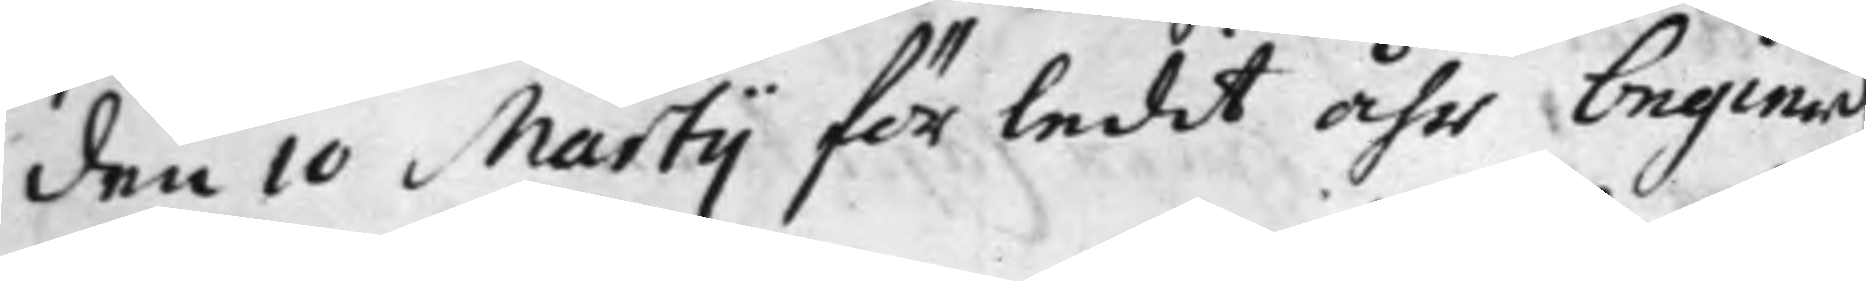den 10 Martij förledit åhr begier
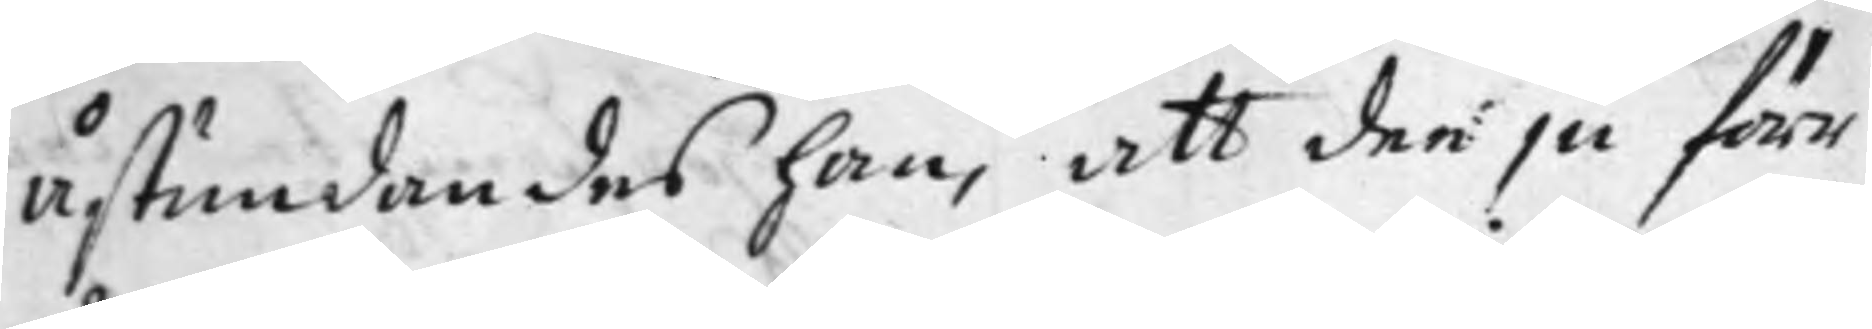åstundandes han, att den ju förr
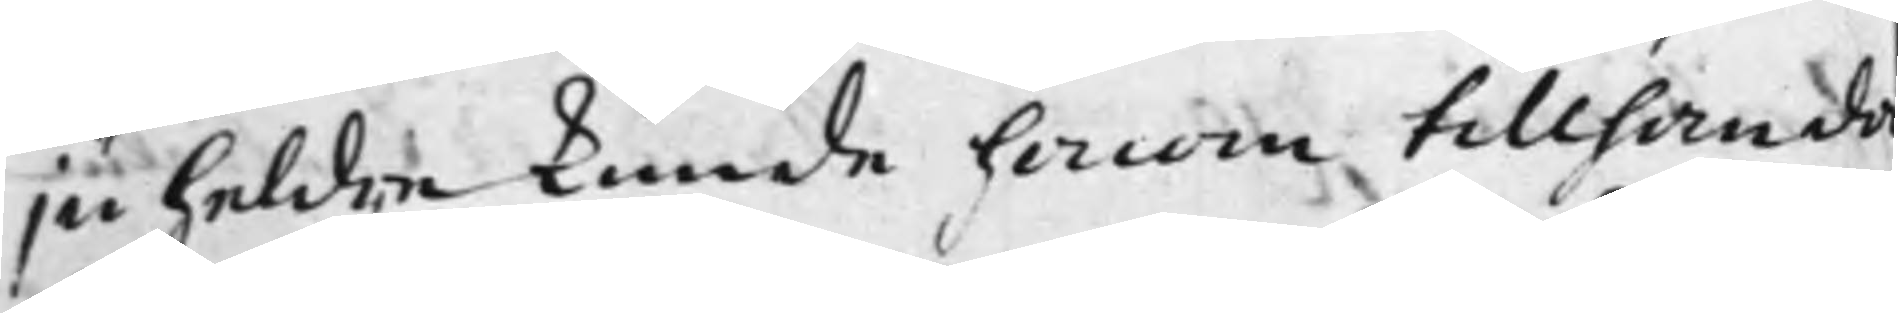ju heldre kunde honom tillhanda
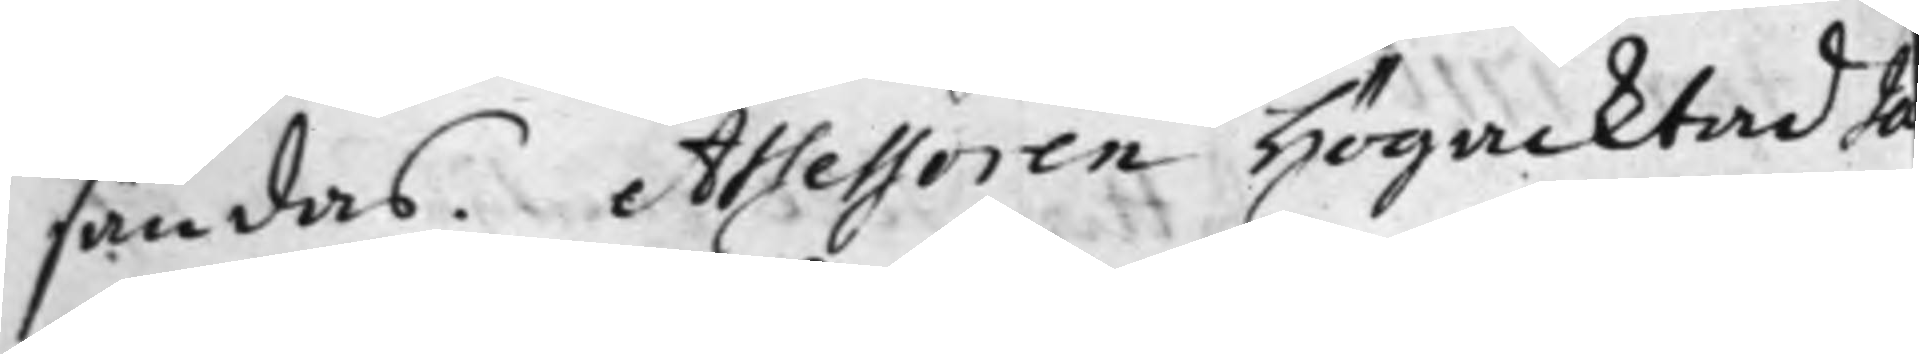sändas. Assessoren Högacktad Jo¬
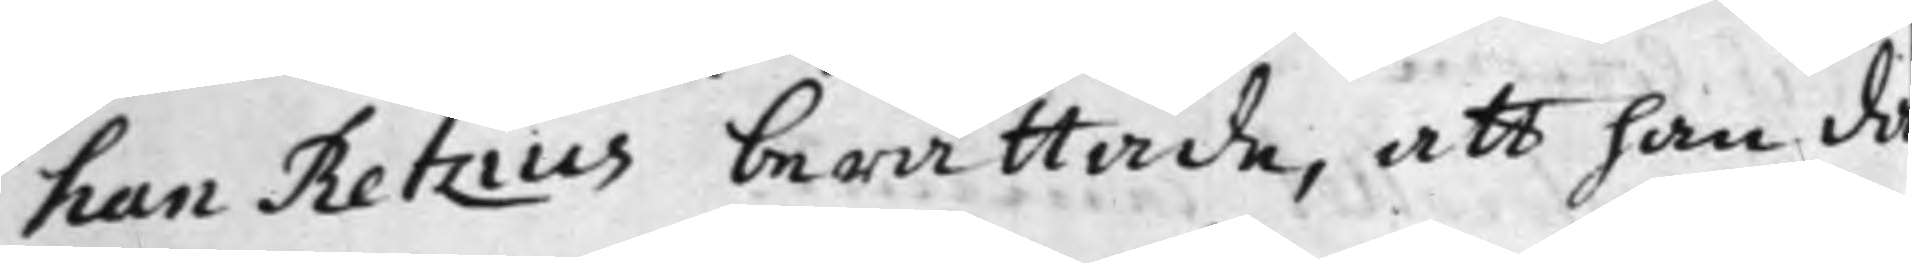han Retzius berättade, att han d
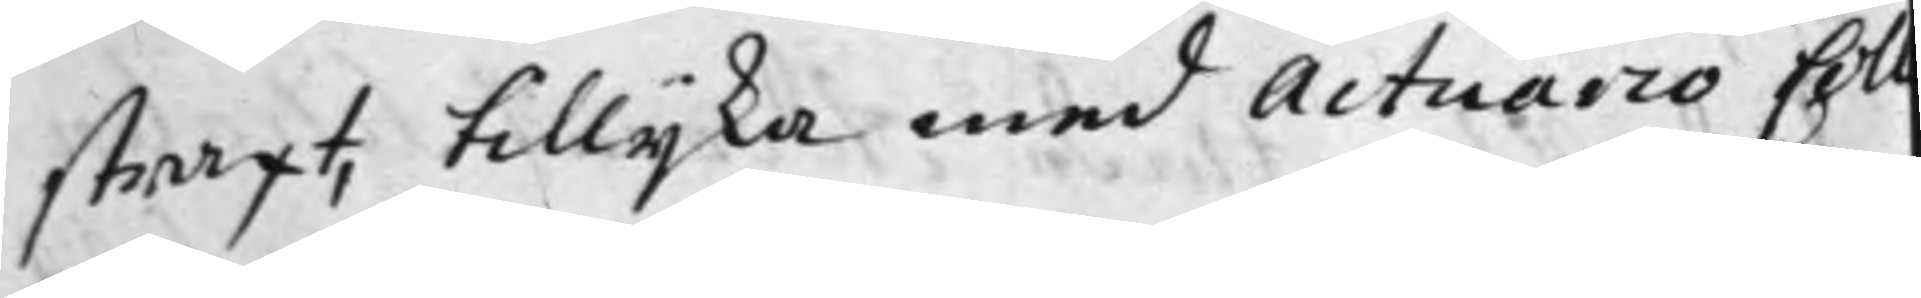straxt, tillijka med Actuario Coll¬
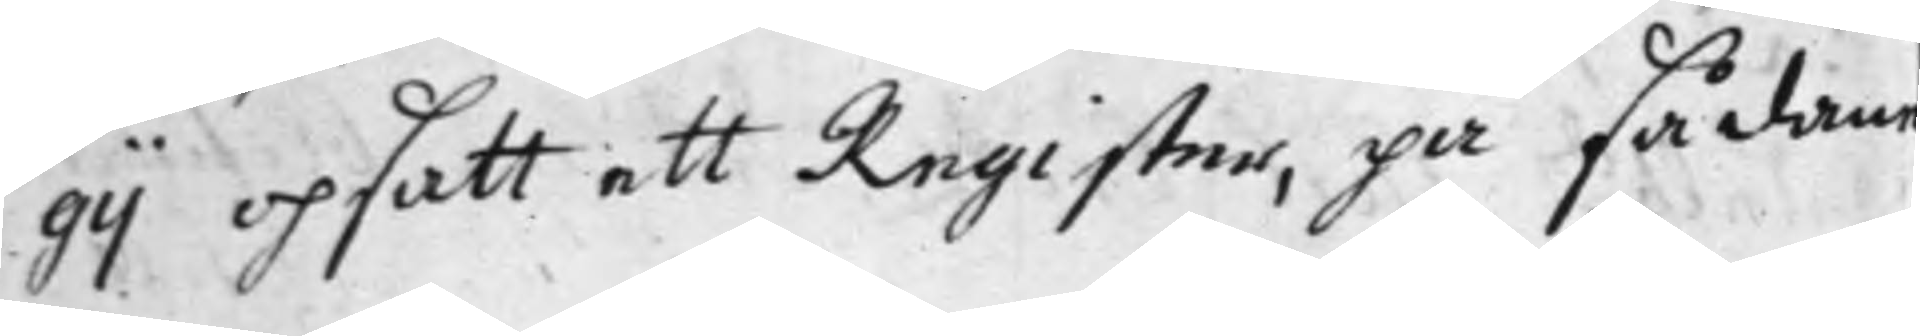gij opsatt ett Register, på sådane
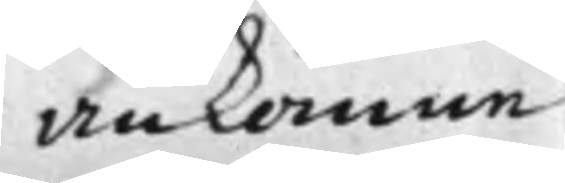ankomne
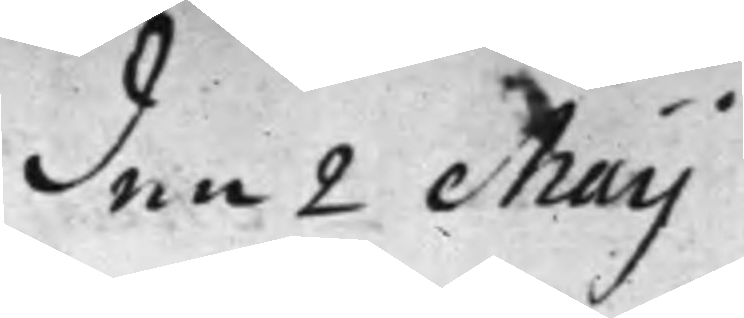den 2 Maij
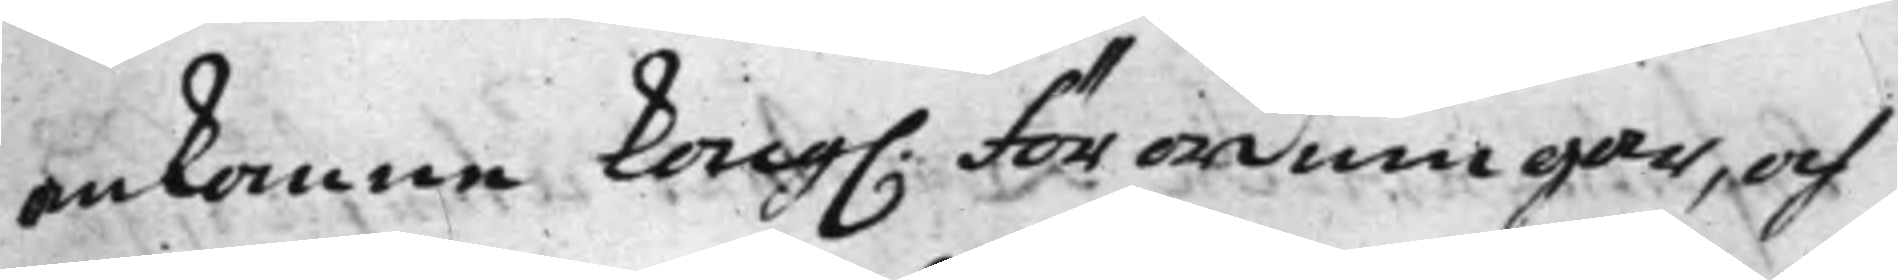ankomne Kong. Förordningar, och
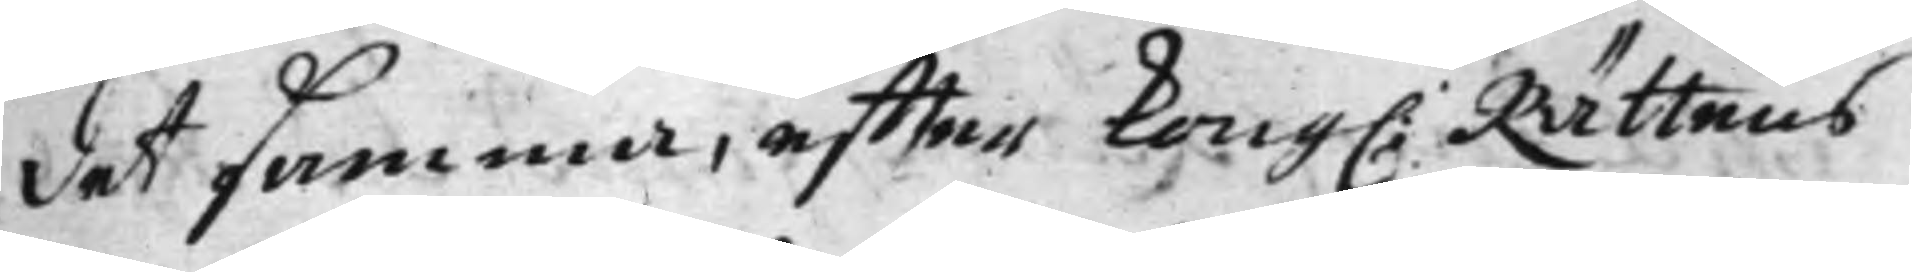det samma, effter Kong. Rättens
